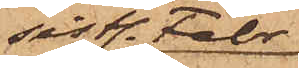sistl. Febr.
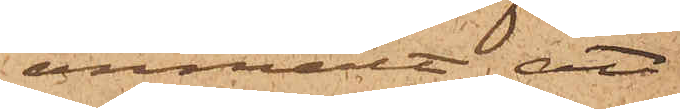anmält, att
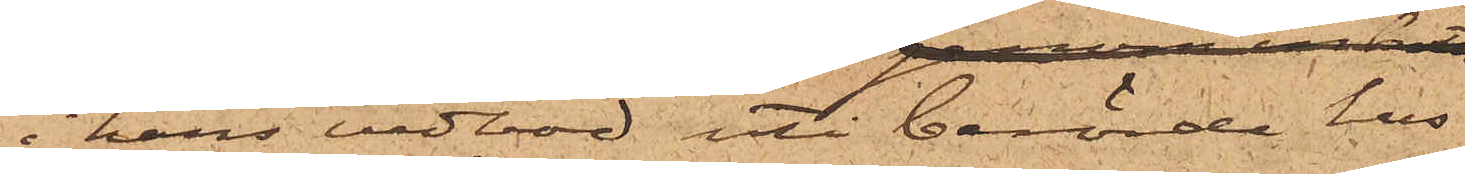i hans vedbod uti berörde hus
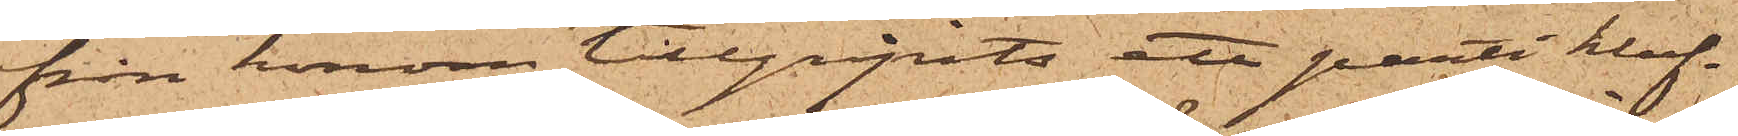från honom tillgripits ett parti kluf¬
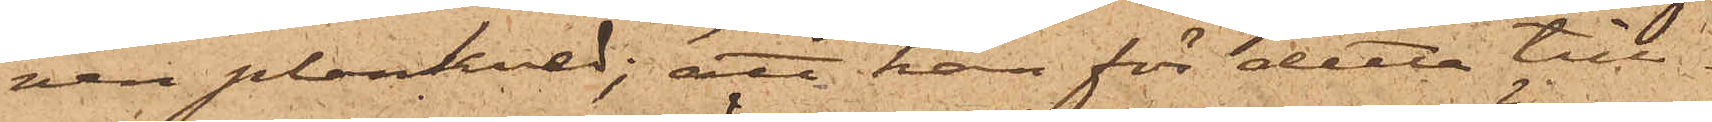ven plankved; att han för detta till¬
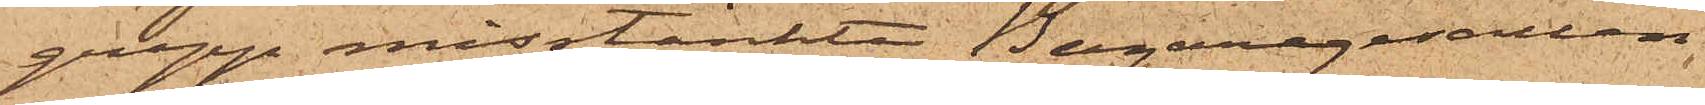grepp misstänkte Bagaregesällen
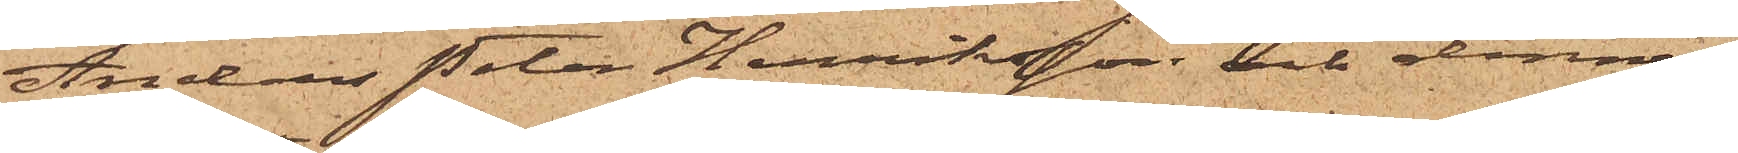Anders Peter Henriksson och dennes
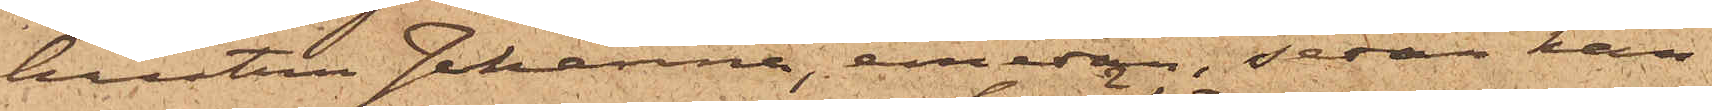hustru Johanna, emedan, sedan han
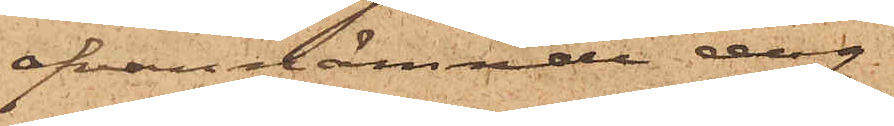ofvannämnde dag
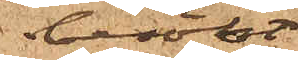besökt
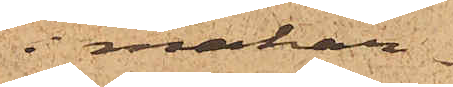i makar¬
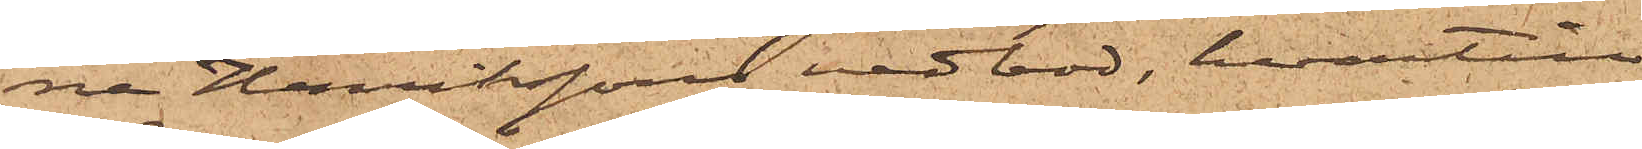na Henriksson vedbod, hvartill
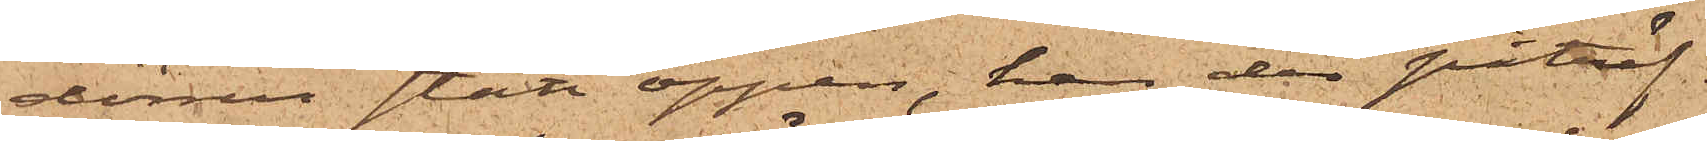dörren stått öppen, han der påträf¬
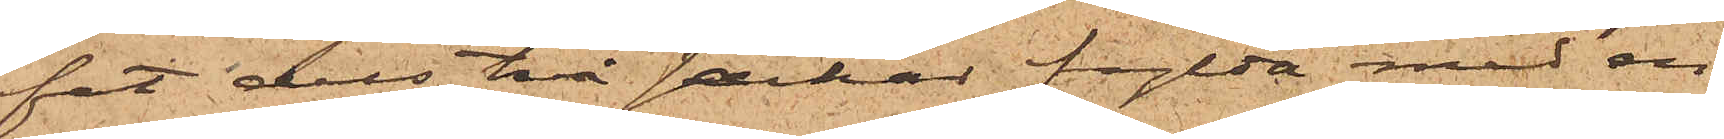fat dels två säckar fylda med en
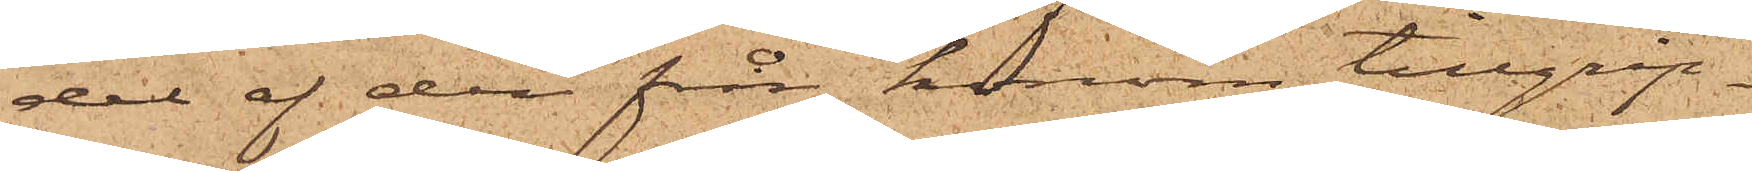del af den från honom tillgrip¬
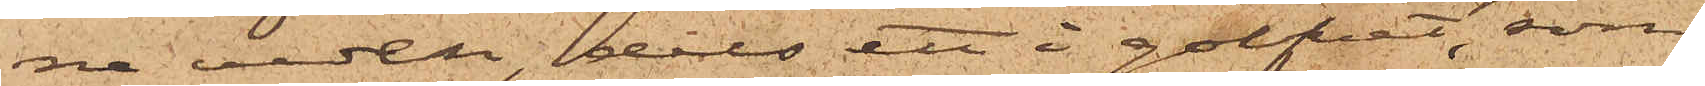ne veden, dels ett i golvet, som
